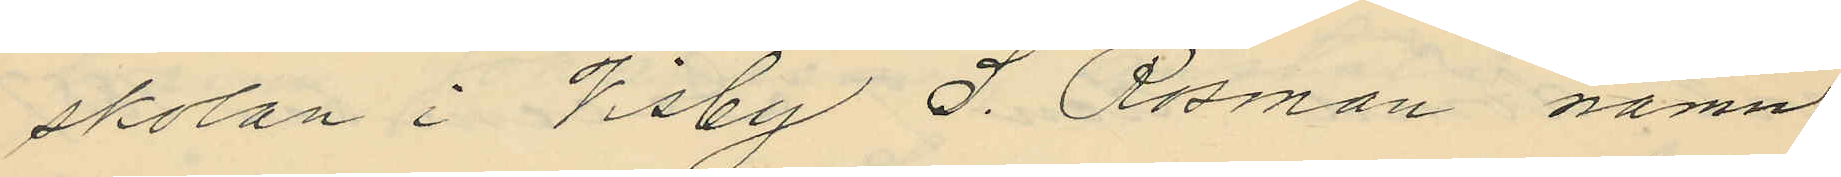skolan i Visby S. Rosman namn
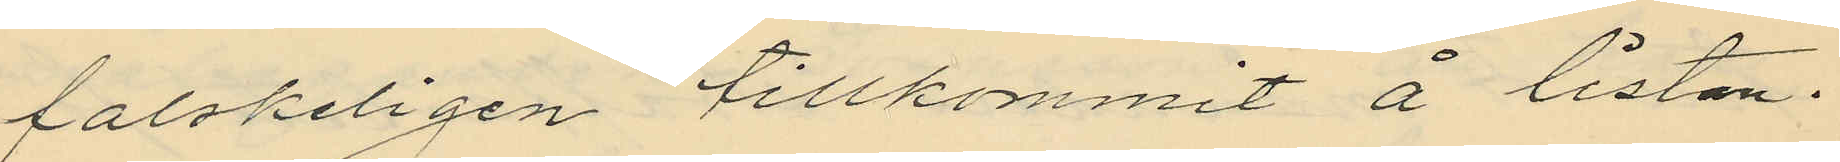falskeligen tillkommit å listan.
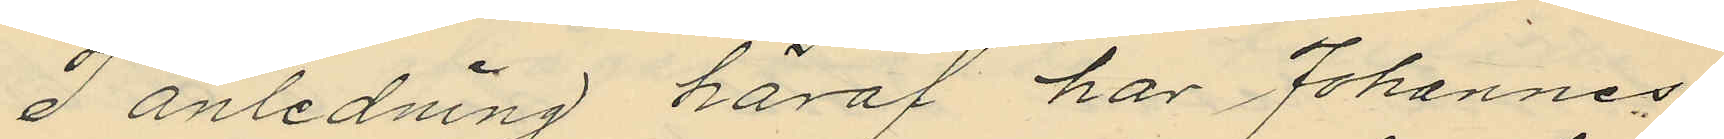I anledning häraf har Johannes¬
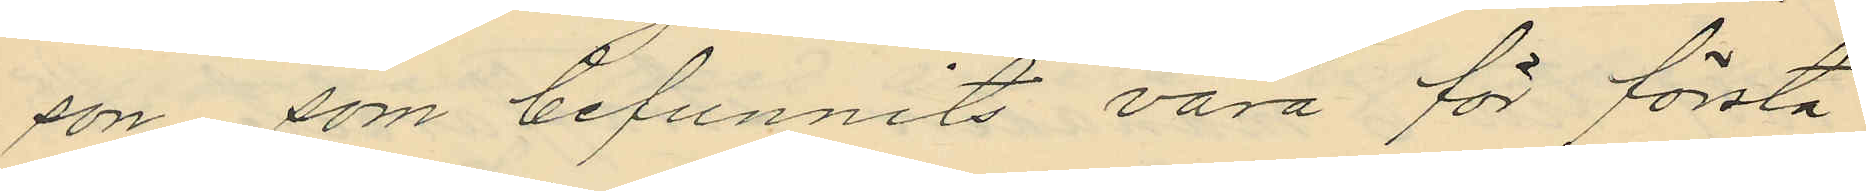son, som befunnits vara för första
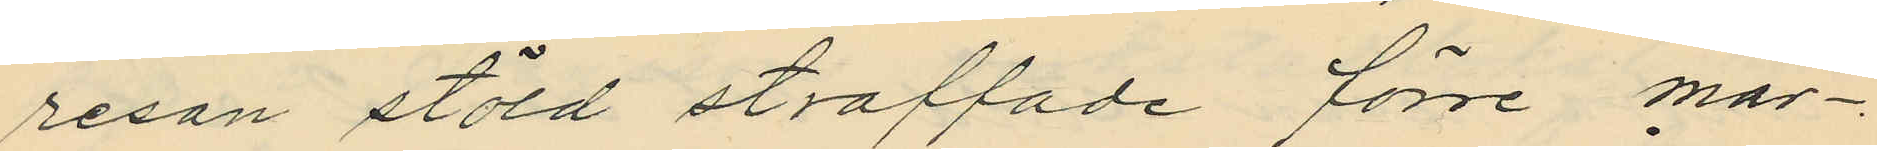resan stöld straffade förre mar¬
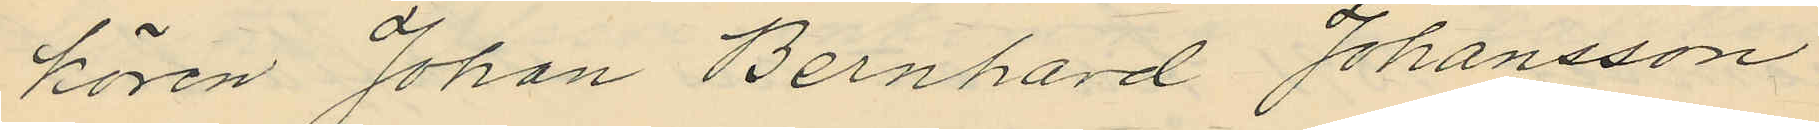kören Johan Bernhard Johansson
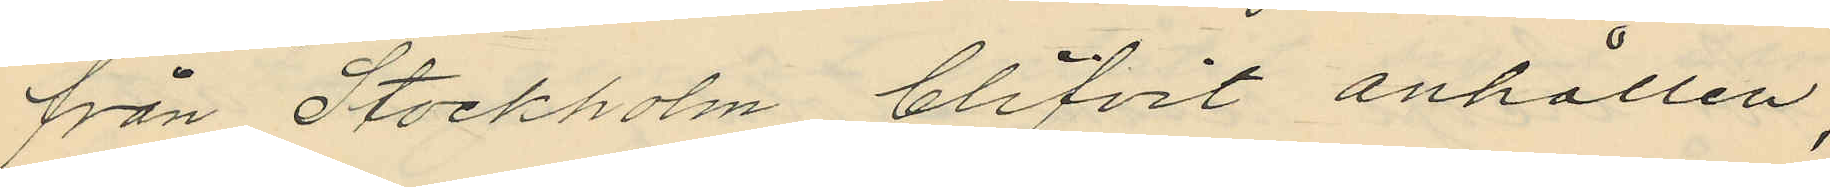från Stockholm blifvit anhållen,
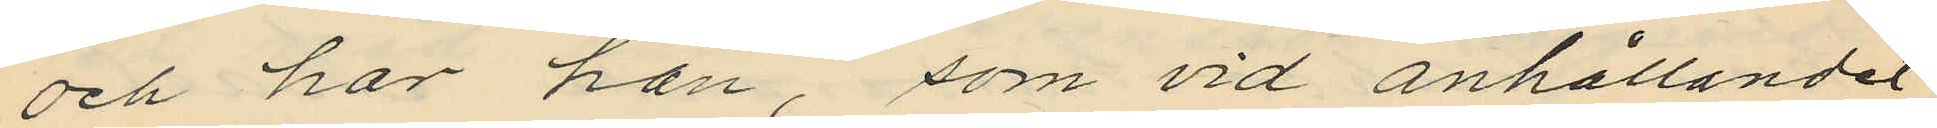och har han, som vid anhållandet
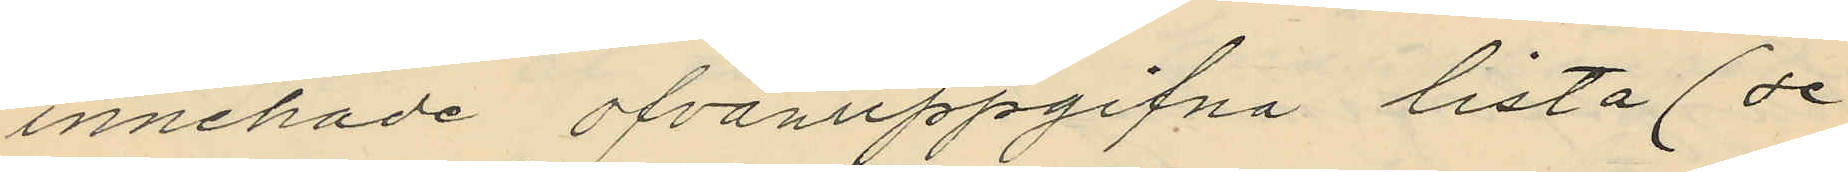innehade ofvanuppgifna lista (se
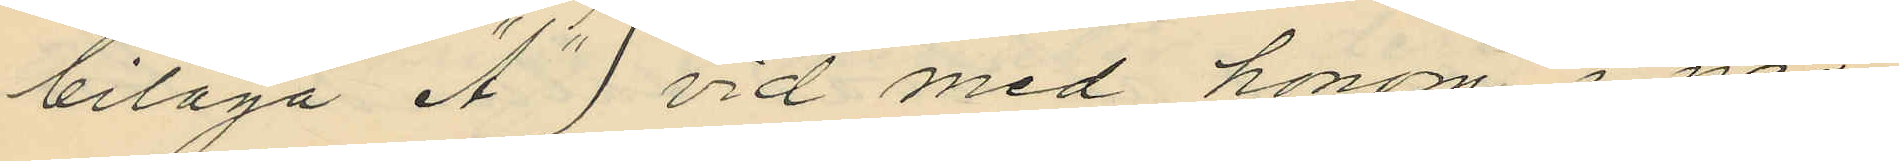bilaga "A") vid med honom i när¬
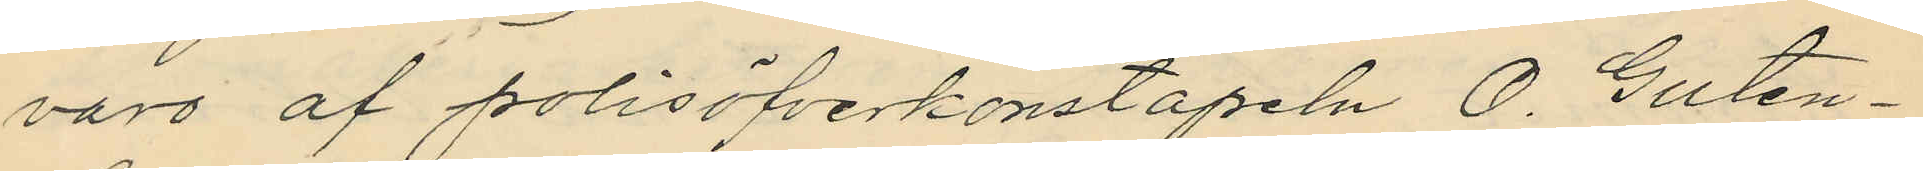varo af polisöfverkonstapeln O. Guten¬
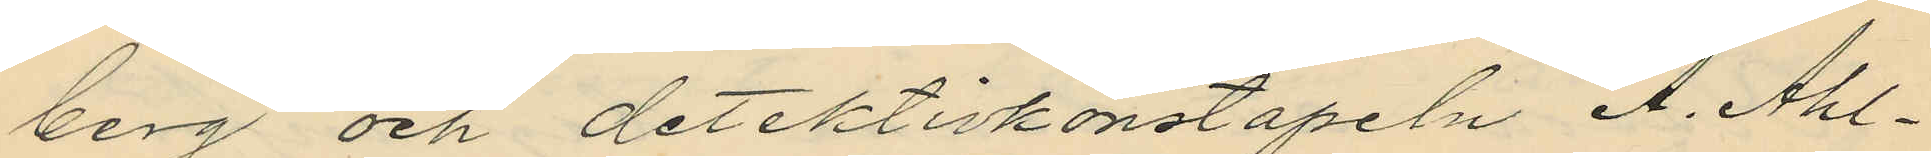berg och detektivkonstapeln A. Ahl¬
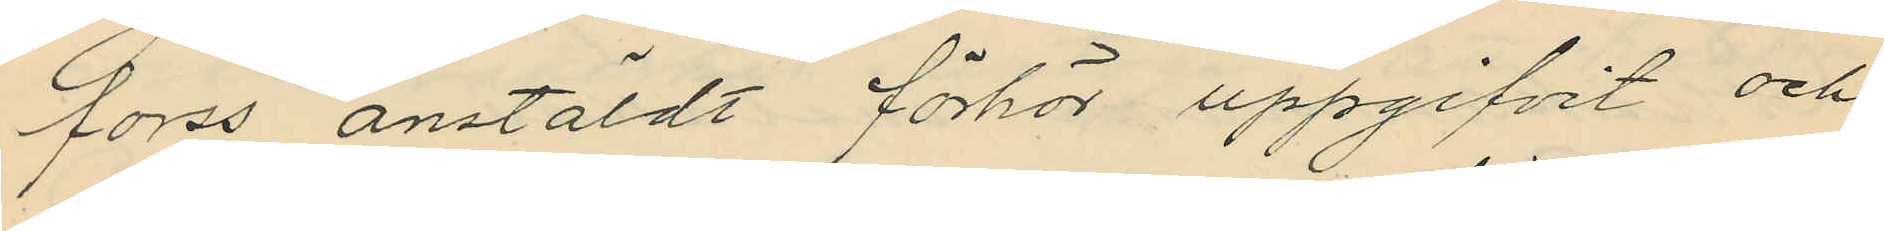forss anstäldt förhör uppgifvit och
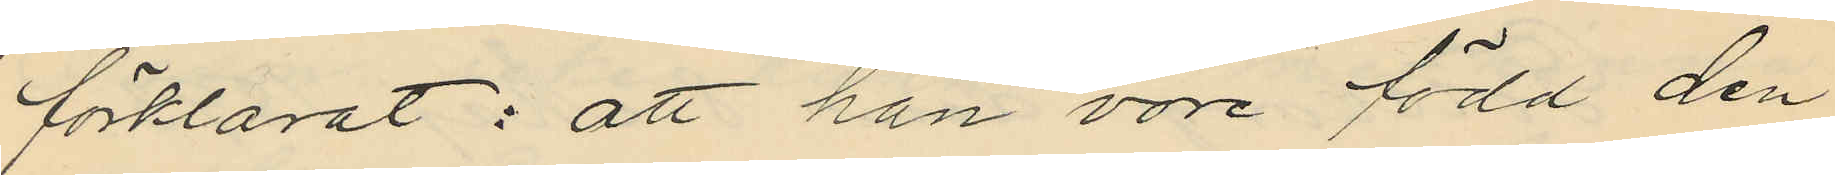förklarat: att han vore född den
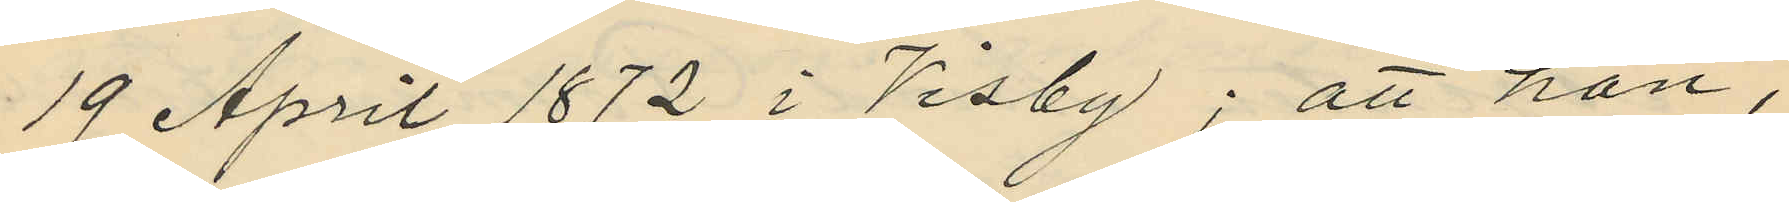19 April 1872 i Visby; att han,
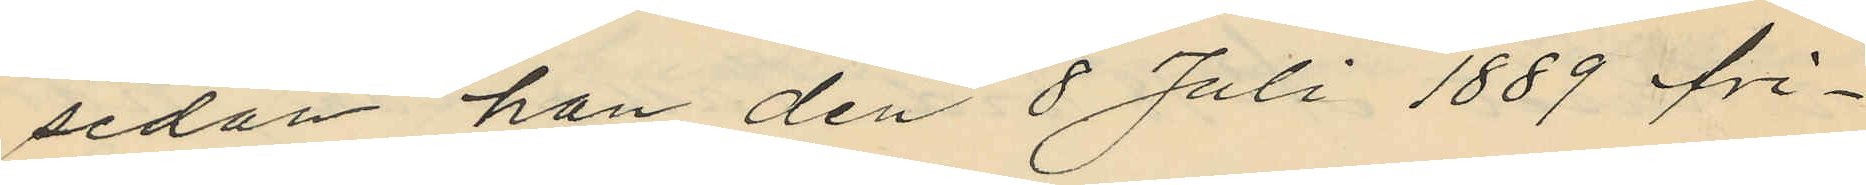sedan han den 8 Juli 1889 fri¬
